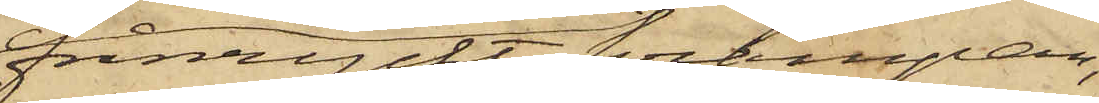frånryckt krampan,
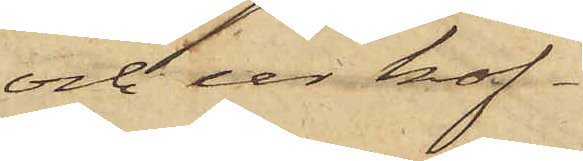och ur kof¬
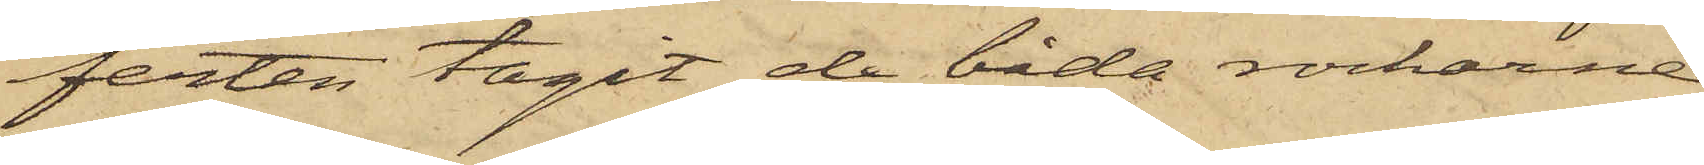ferten tagit de båda rockarne
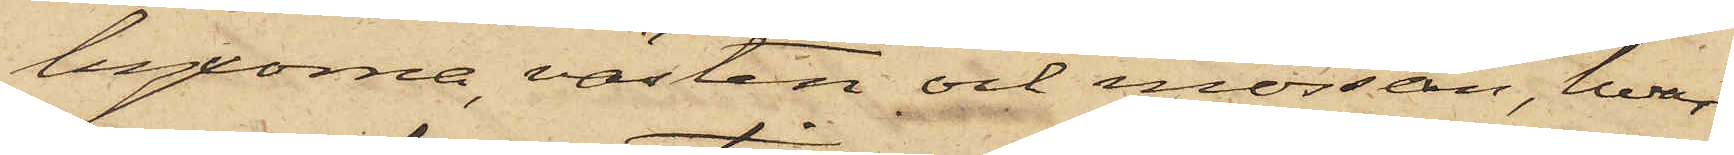byxorna, västen och mössan, hvar¬
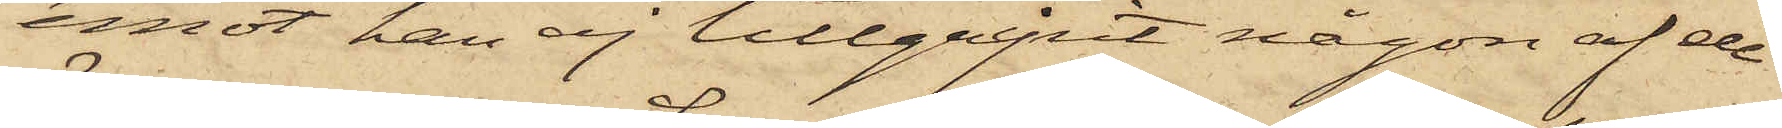emot han ej tillgripit någon af de
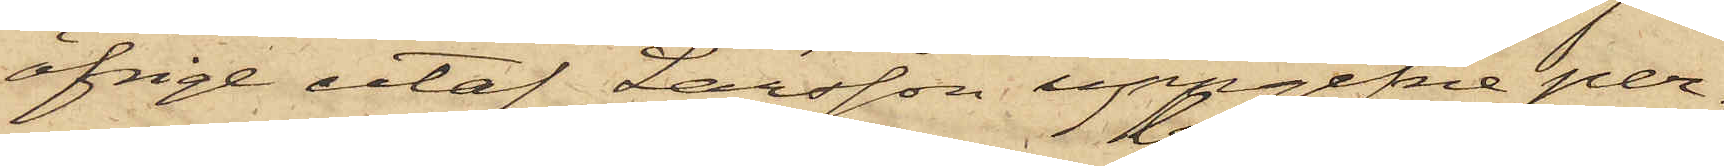öfrige utaf Larsson uppgifne per¬
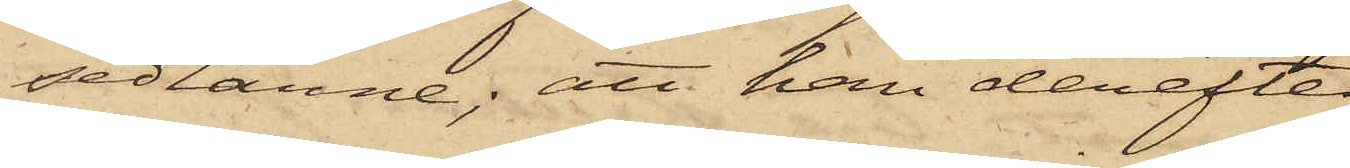sedlarne; att han derefter
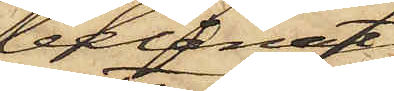belånat
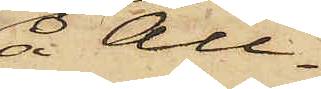å All¬
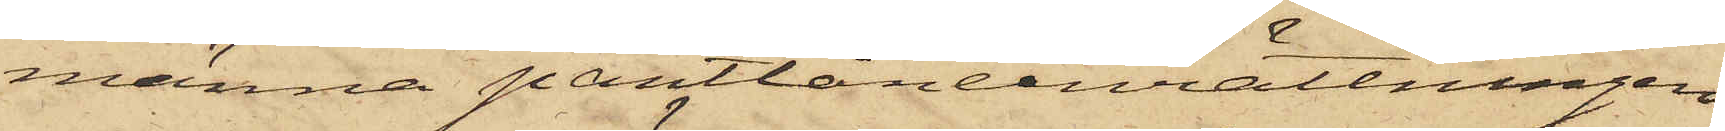männa pantlåneinrättningen
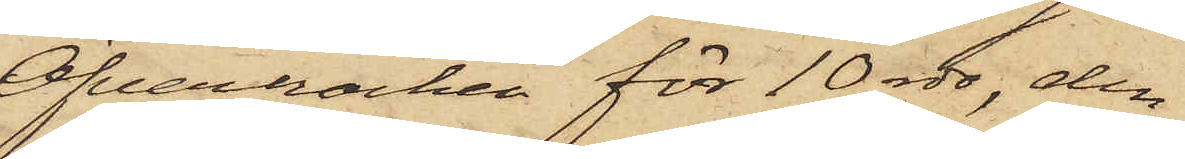Öfverrocken för 10 rdr, den
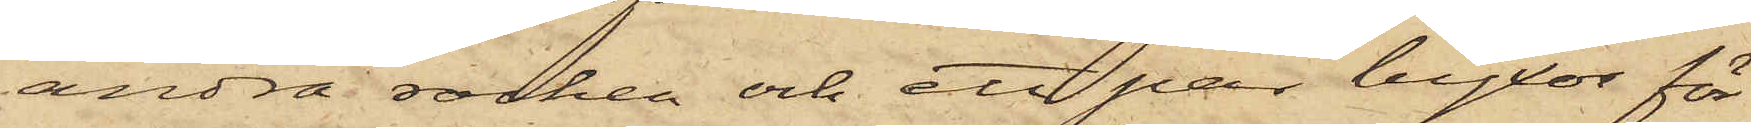andra rocken och ett par byxor för
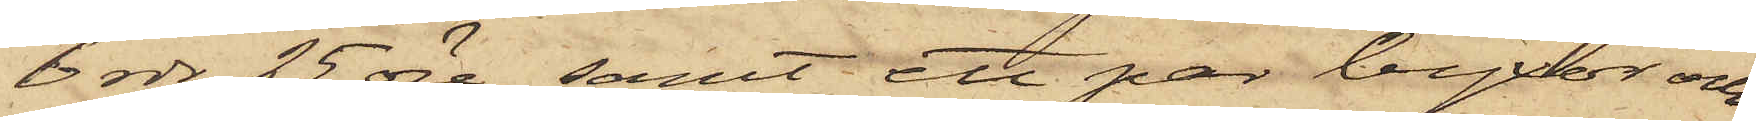6 rdr 25 öre samt ett par byxor och
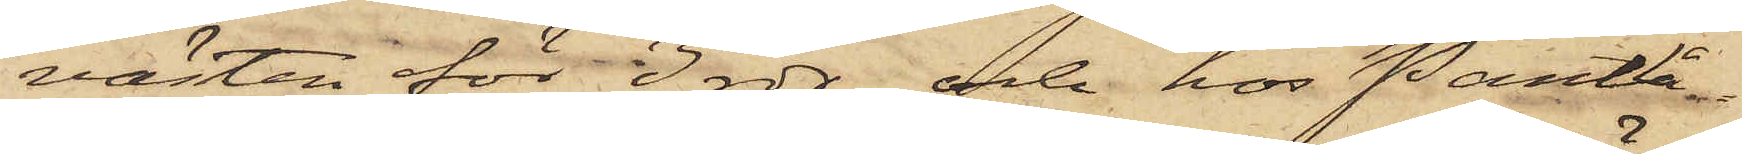västen för 3 rdr och hos Pantlå¬
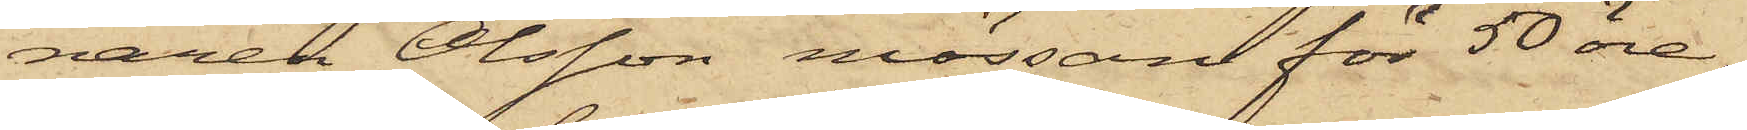naren Olsson mössan för 50 öre;
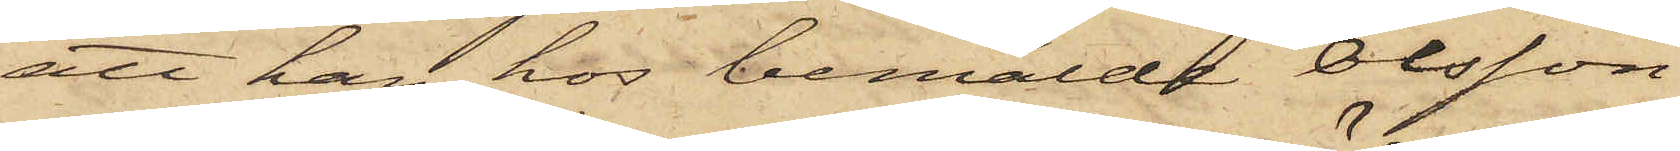att han hos bemälde Olsson
